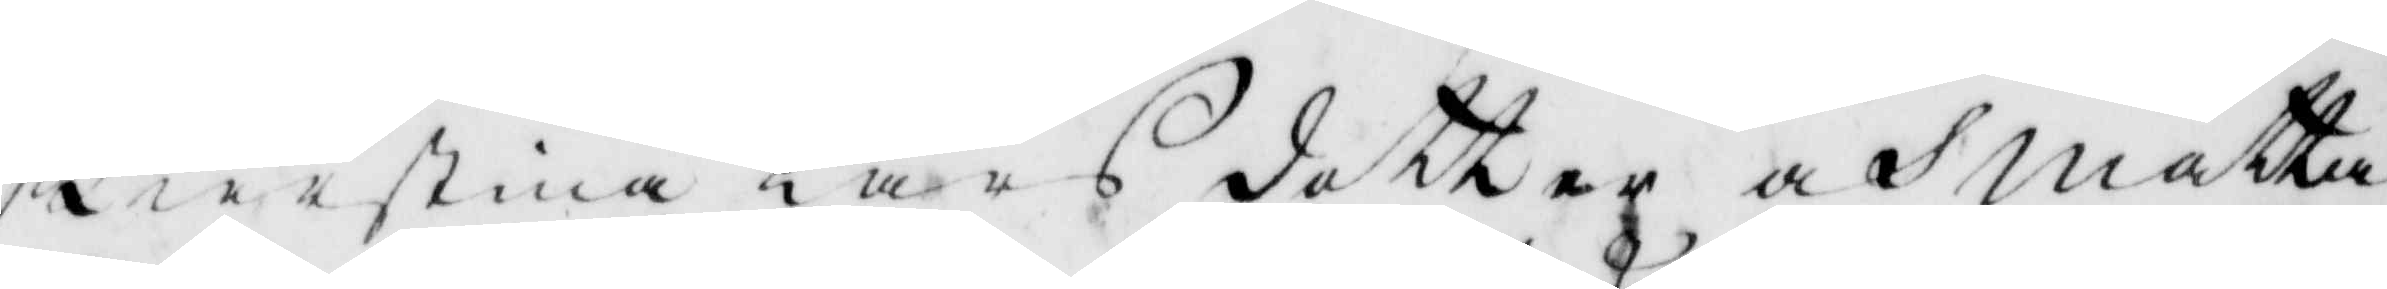Kierstina ars dotter och Mätta
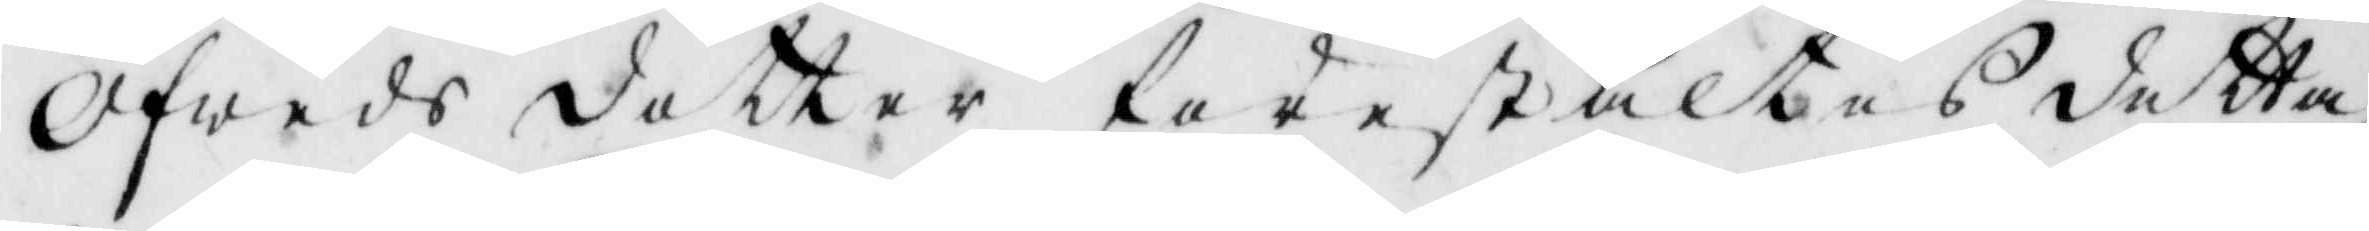Afweds dotter förestältes detta
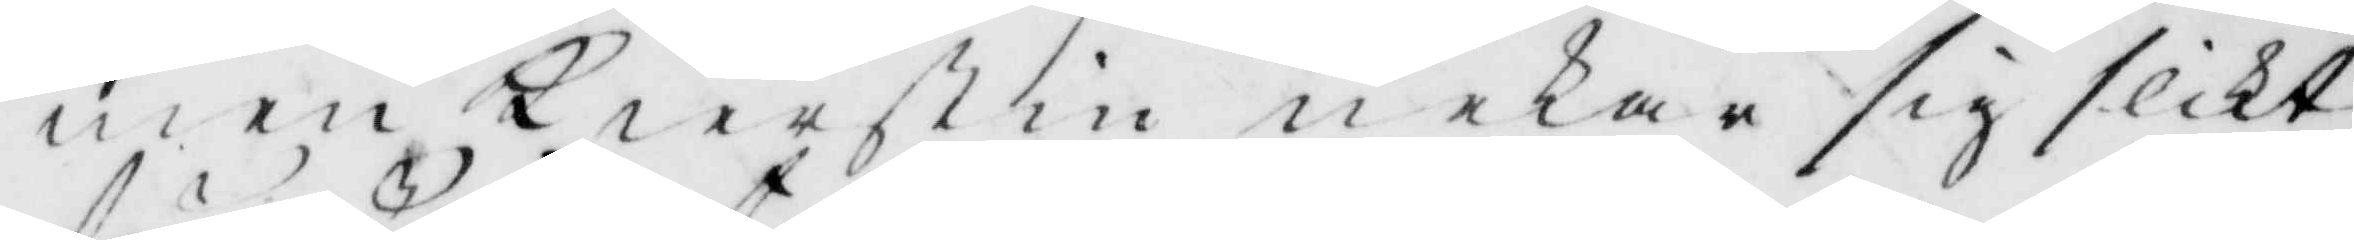men Kierstin nekade sig slikt
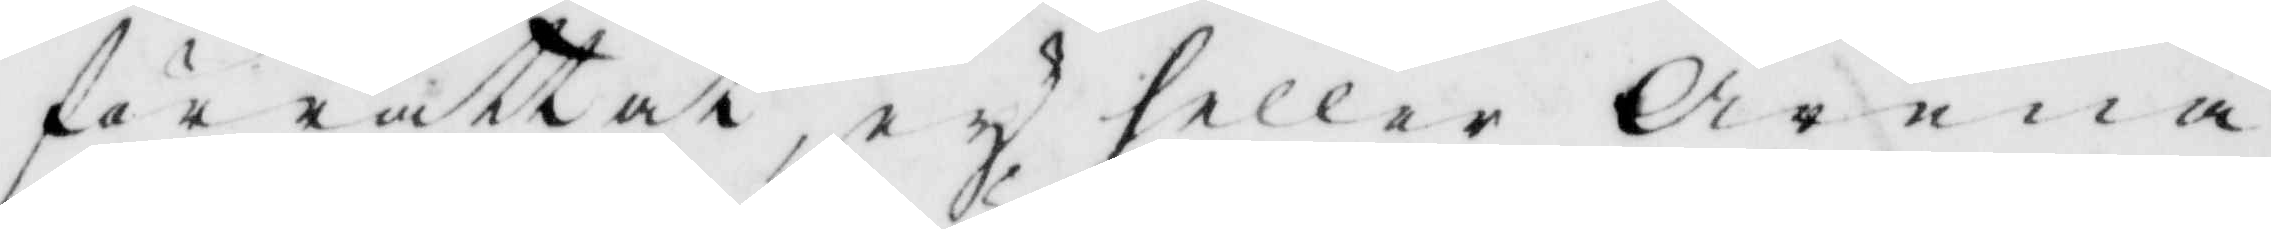förrättat, ey heller Arena
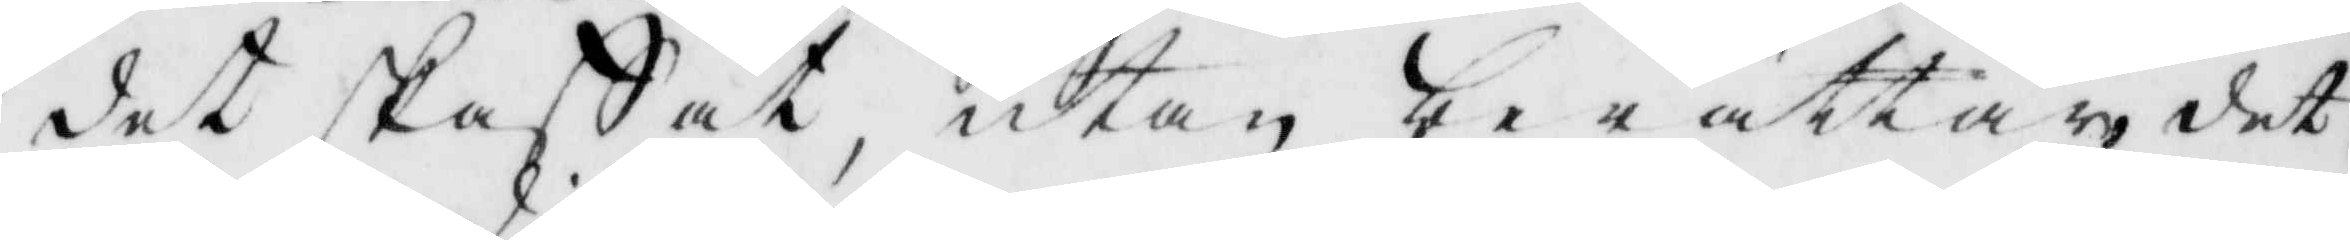det skaffat, utan berättade det
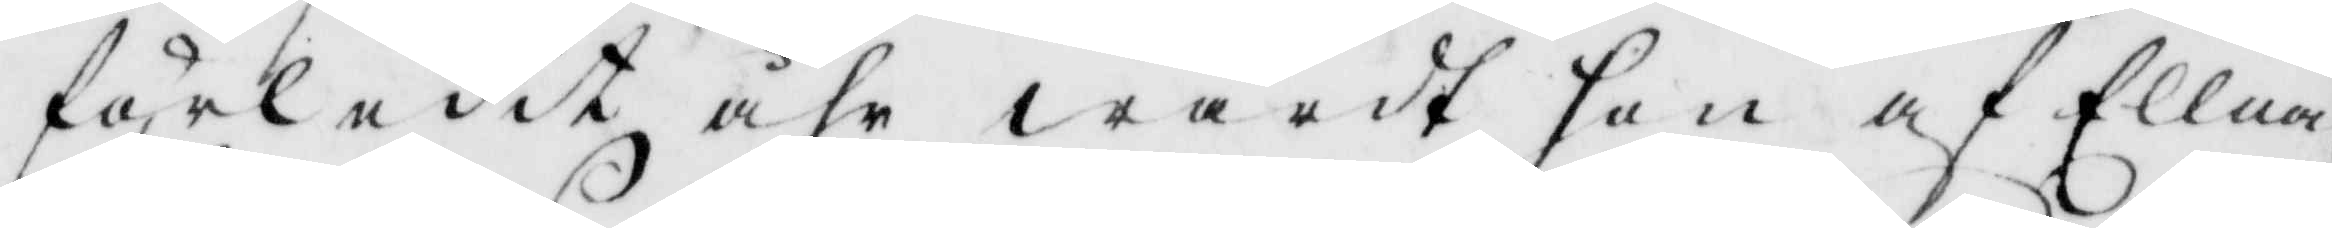förledit åhr wardt hon af Ellna
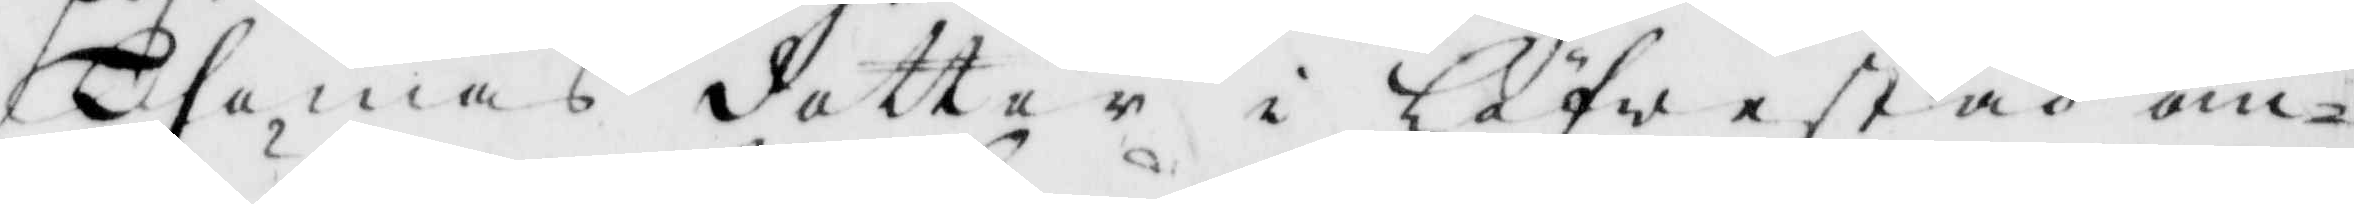Thomas dotter i Löfwestad om¬
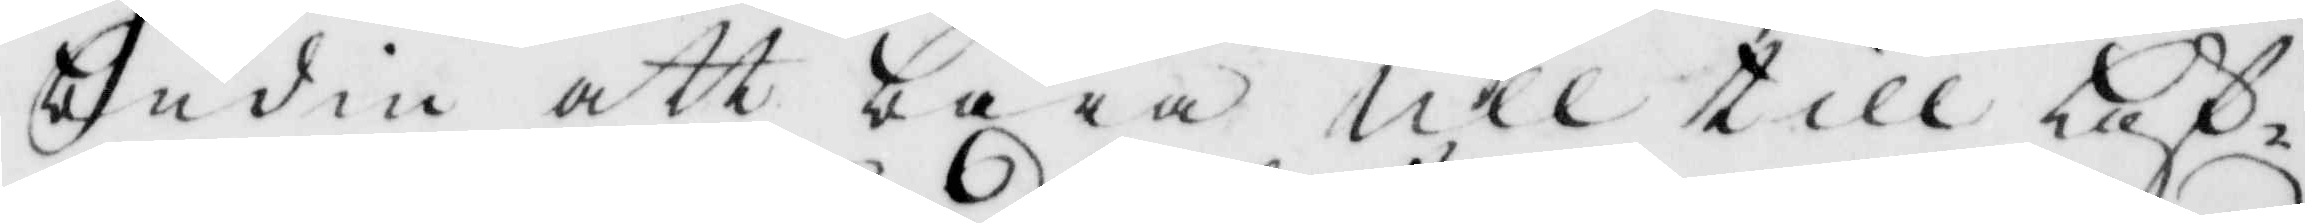budin att bära ull till Löf¬
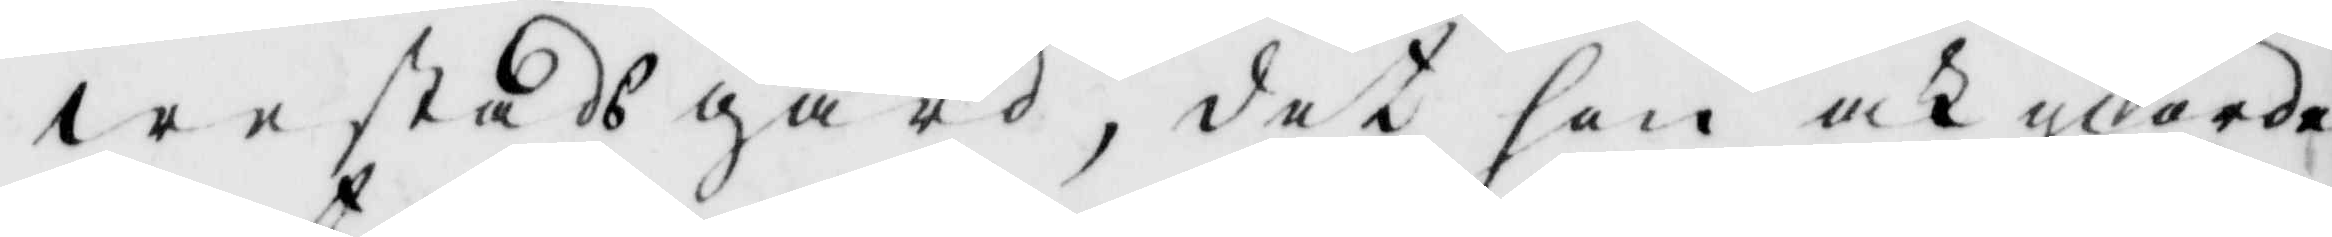westads gård, det hon och giorde
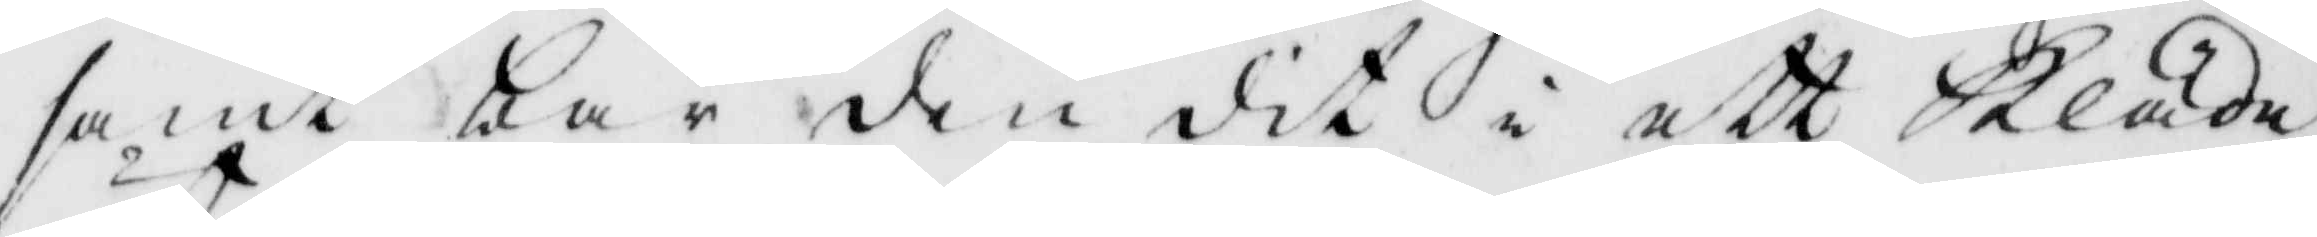samt bar den dit i ett kläde,
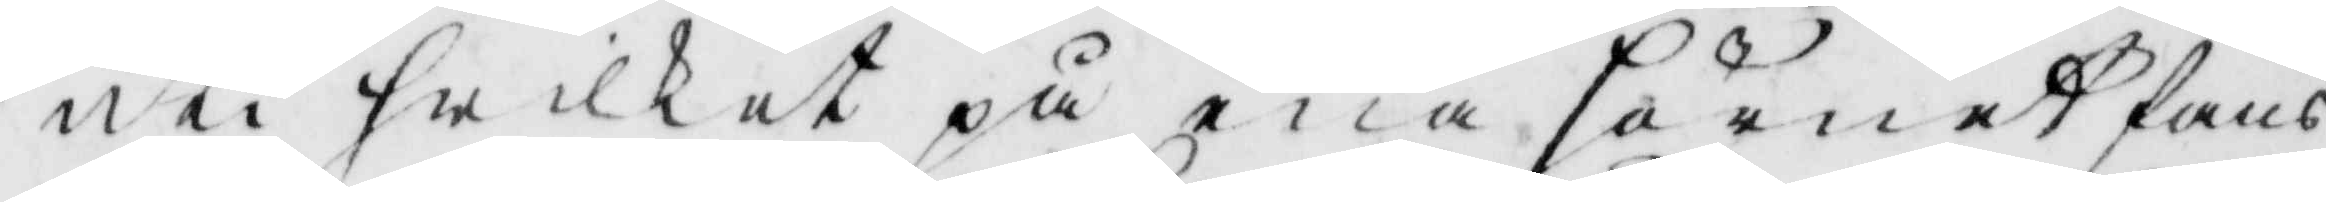uti hwilket på ena hörnet fans
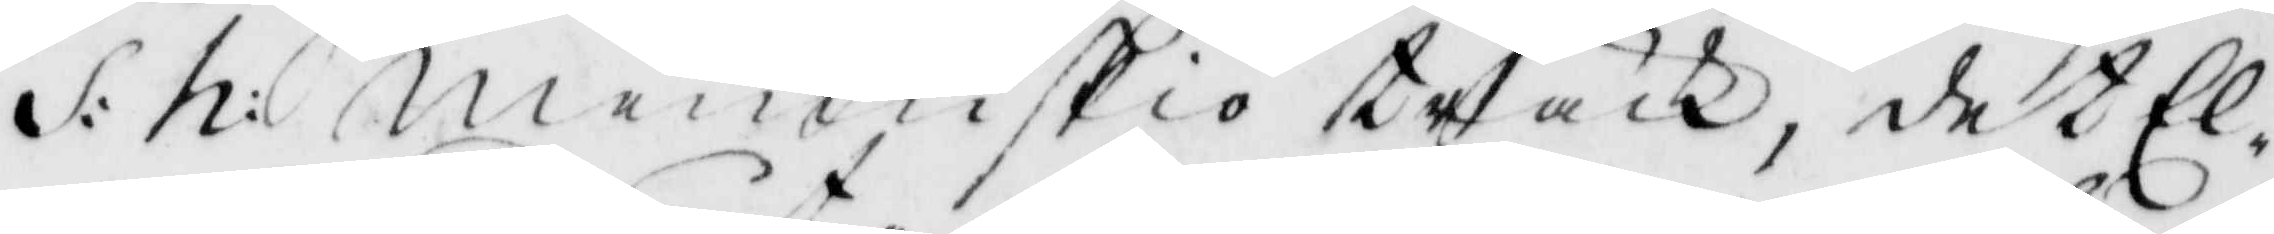S: h: menniskoi träck, det El¬
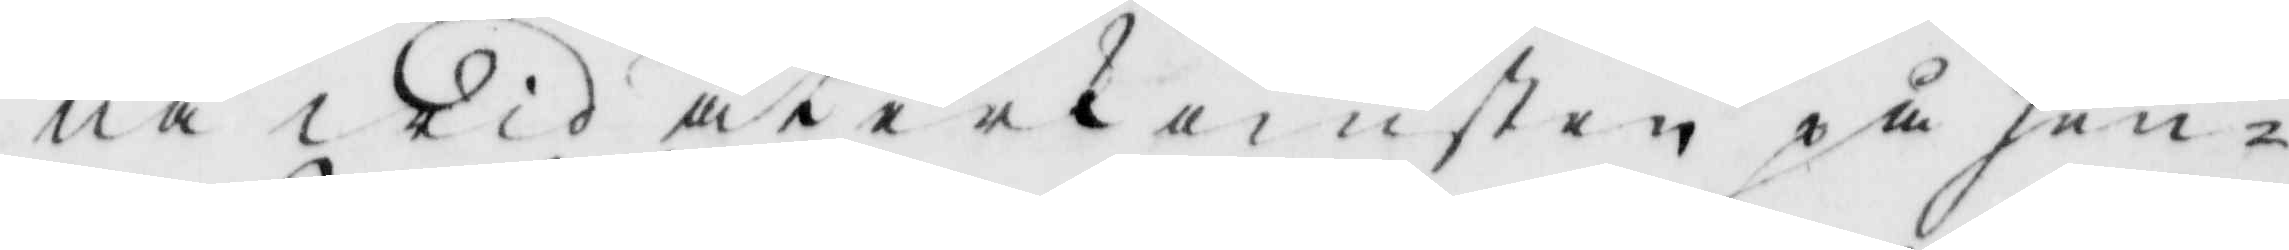na wid återkomsten på hen¬
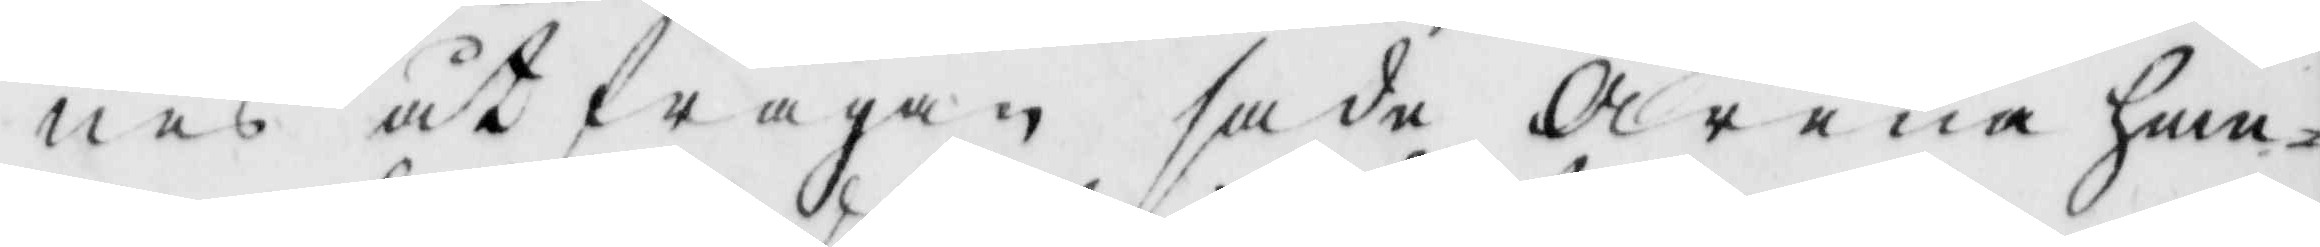nes åtfrågan sade Arena hem¬
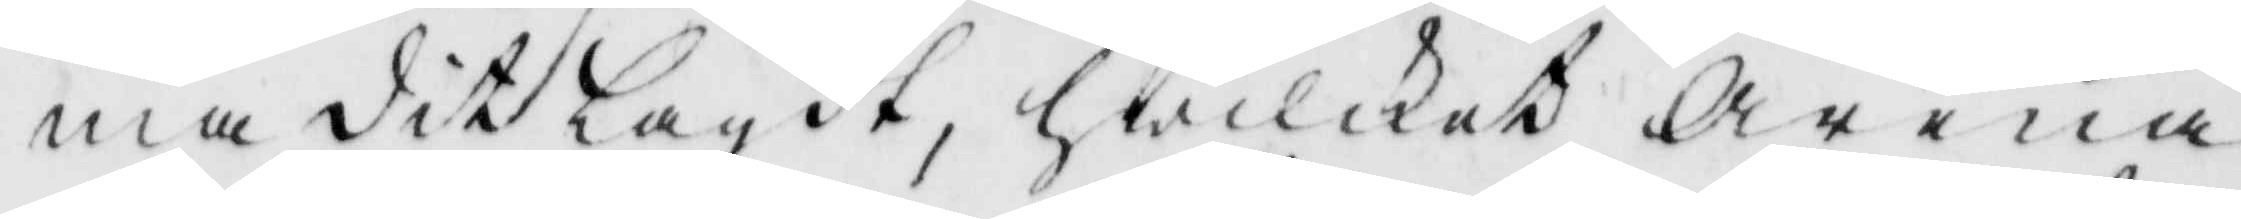ma ditlagdt, hwilket Arena
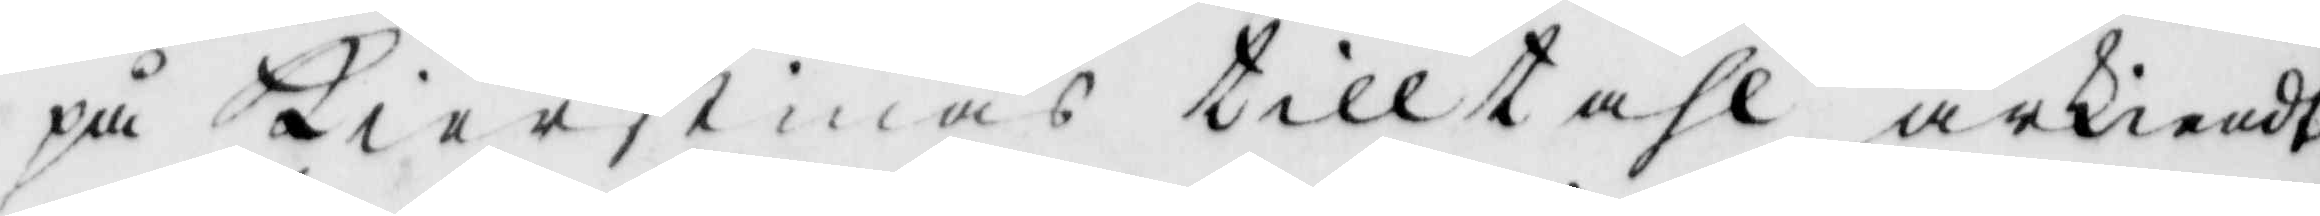på Kierstinas tilltahl ärkiendt
